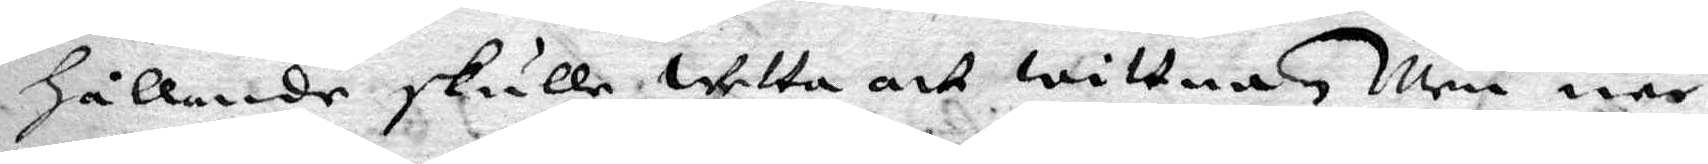hållande skulle wetta att wittna, Men när
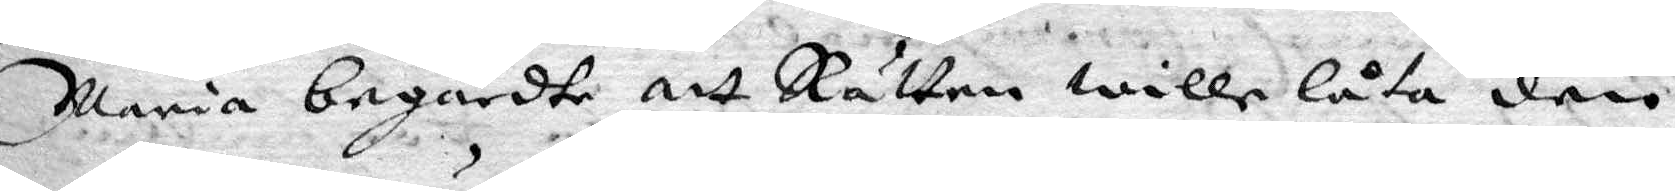Maria begärdte att Rätten wille låta den
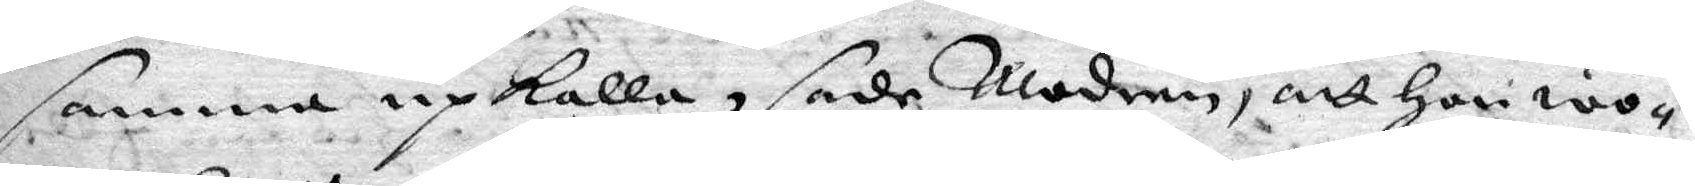samma upkalla, sade Modren, att hon wo¬
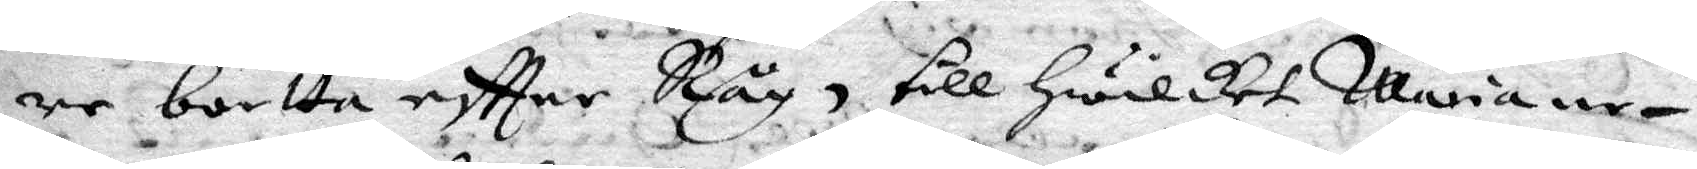re bortta eftter Råg, till hwilket Maria ne¬
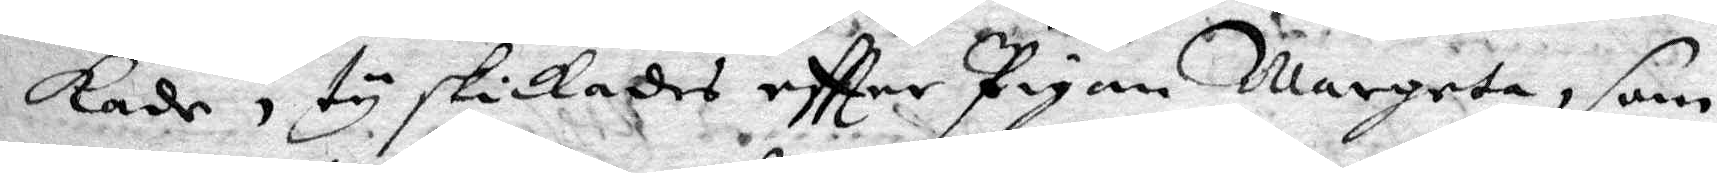kade, ty skickades eftter Pigan Margera, som
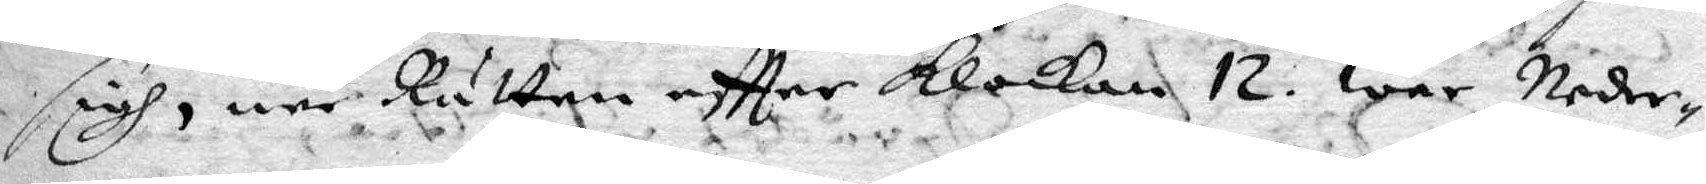sigh, när Rätten eftter Klockan 12 war Neder¬
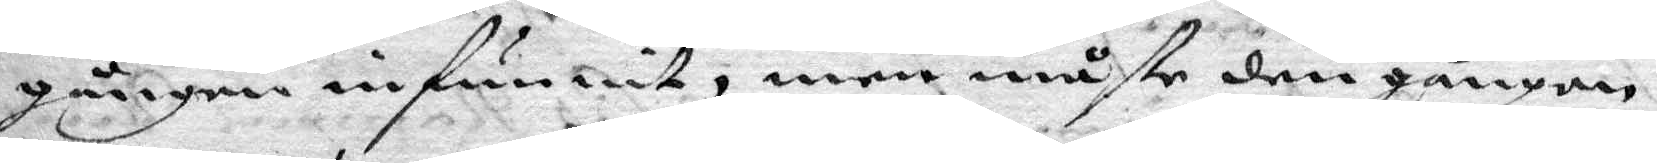gången infunnit, men måste den gången
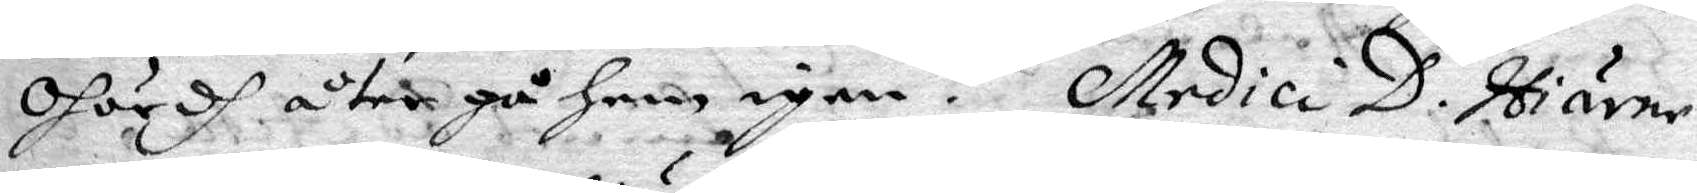ohördh åter gå hem igen. Medici D. Hiärne
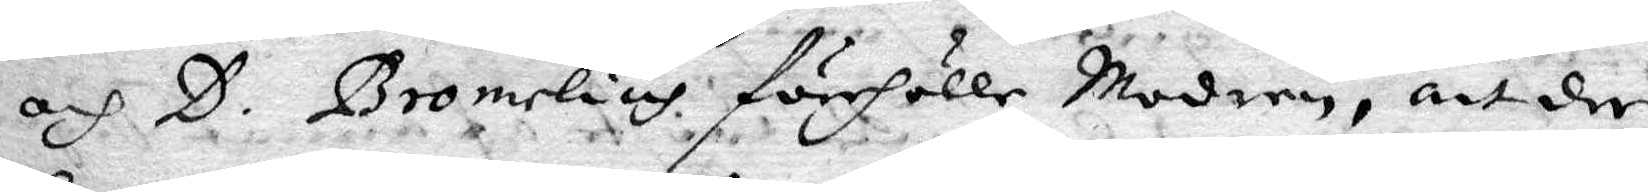och D. Bromelius förehåller Modren, att der
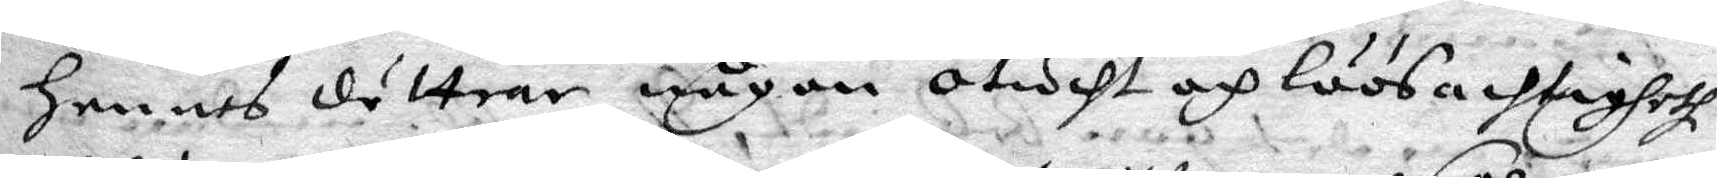hennes döttrar någon otucht och löösachtigheth
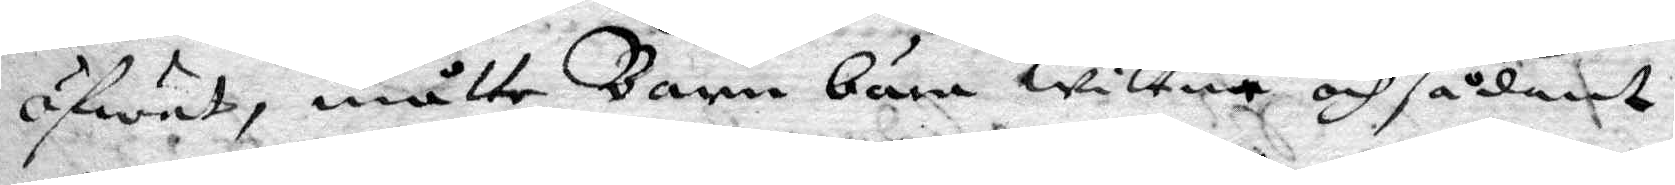öfwat måtte Barn lära wittna och sådant
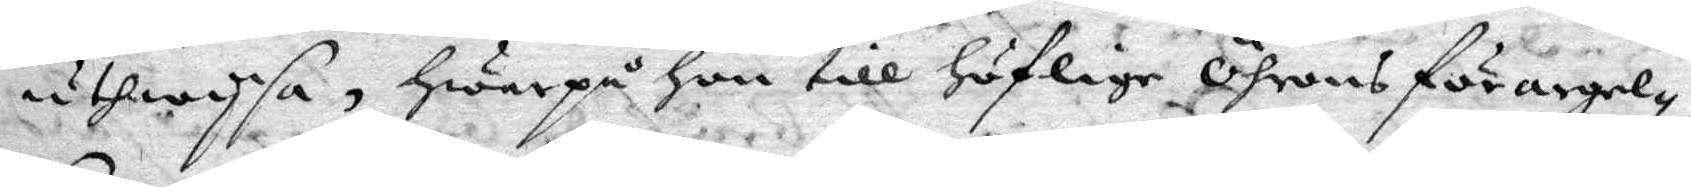uthwysa, hwarpå hon till höflige Öhrons förargel¬
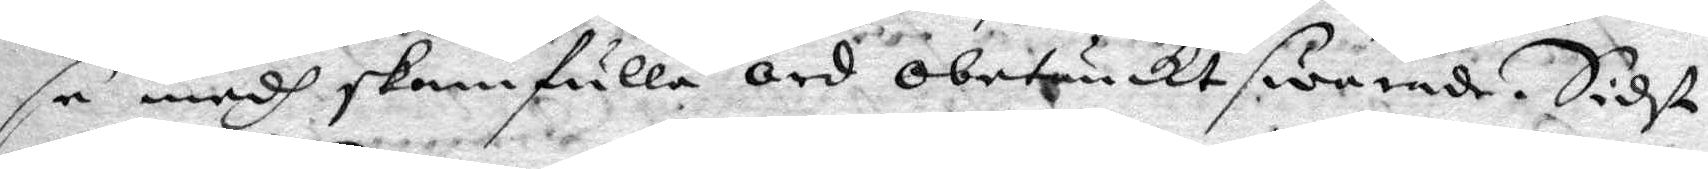se medh skamfulla ord obetänckt swarade. Sidst
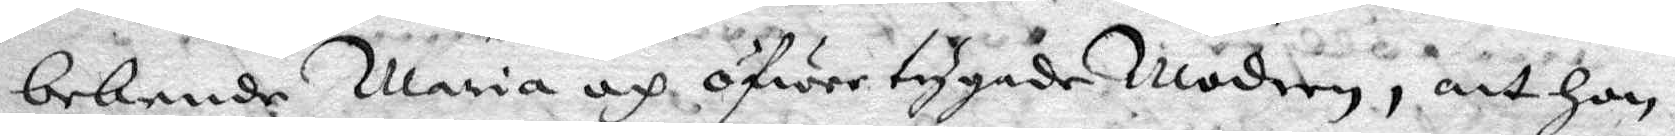bekende Maria och öfwertygade Modren, att hon
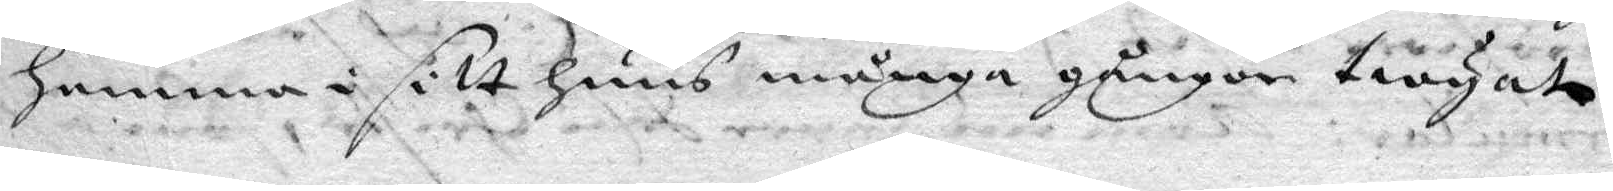hemma i sitt huus många gånger twingat
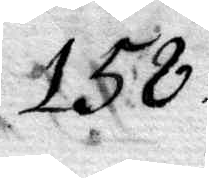158.
